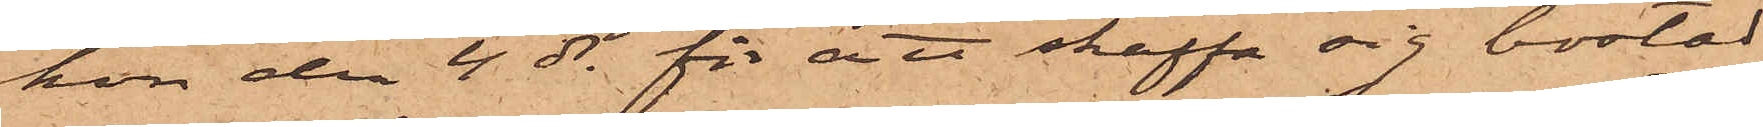hon den 4 ds för att skaffa sig bostad
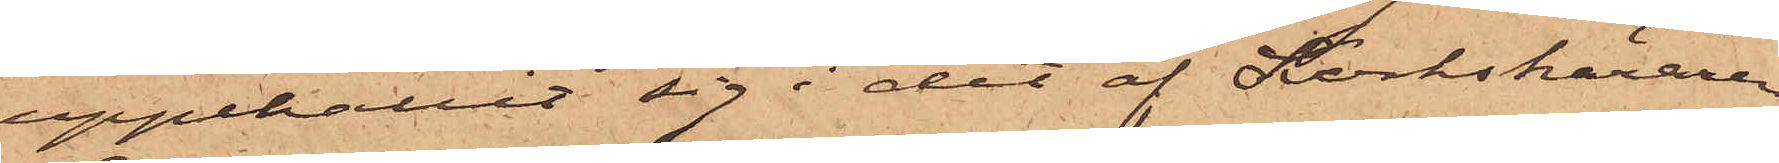uppehållit sig i det af Korkskäraren
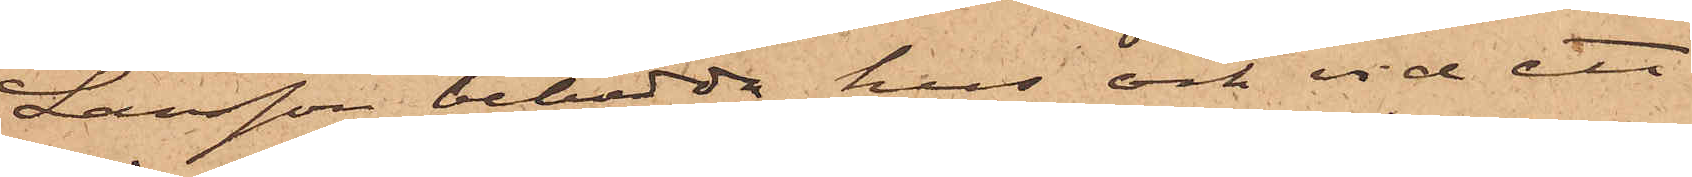Larsson bebodda hus och vid ett
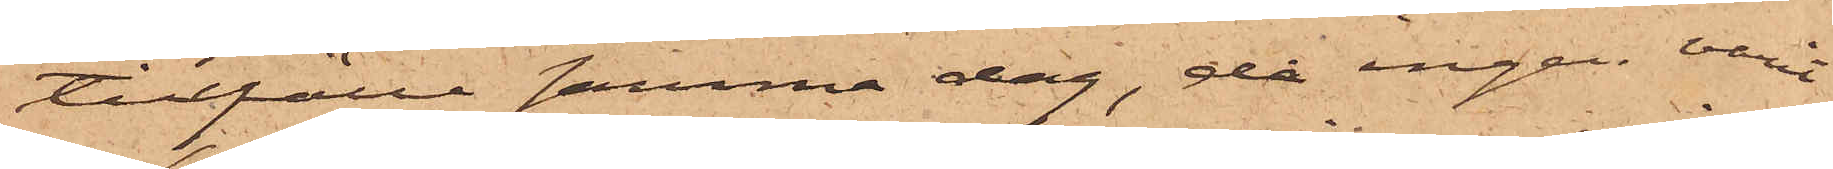tillfälle samma dag, då ingen varit
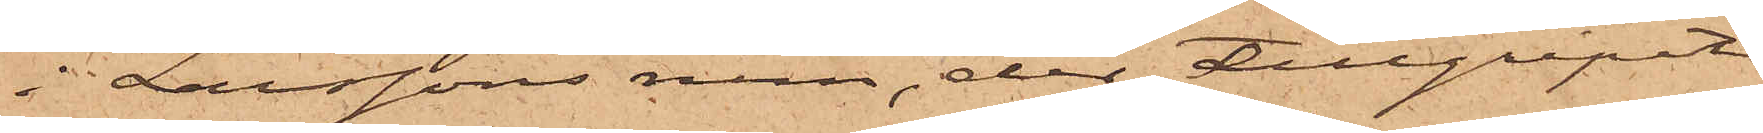i Larssons rum, der tillgripit
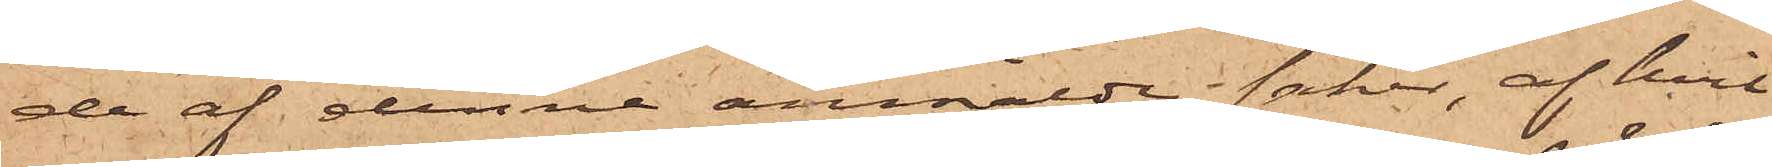de af denne anmälde saker, af hvil¬
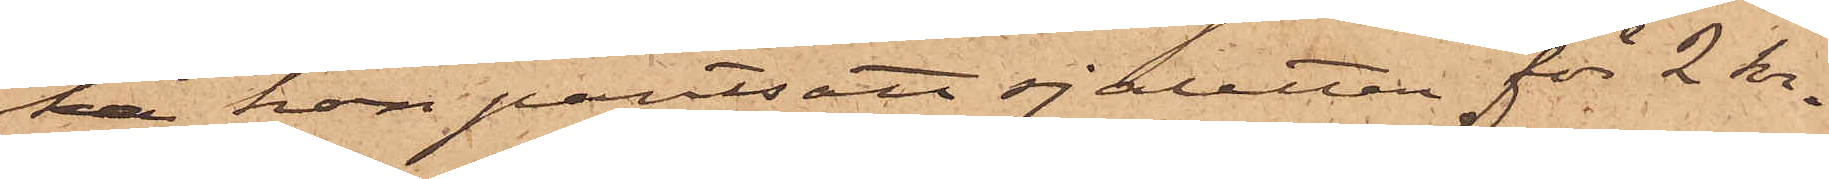ka hon pantsatt sjaletten för 2 kr.
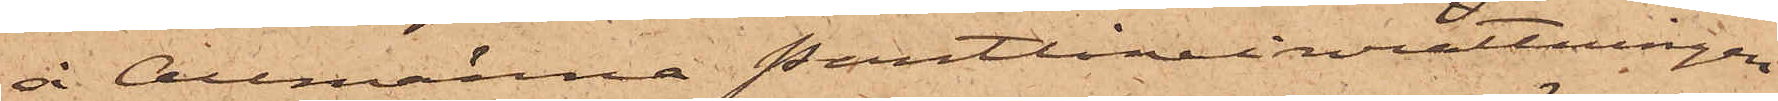å Allmänna Pantlåneinrättningen
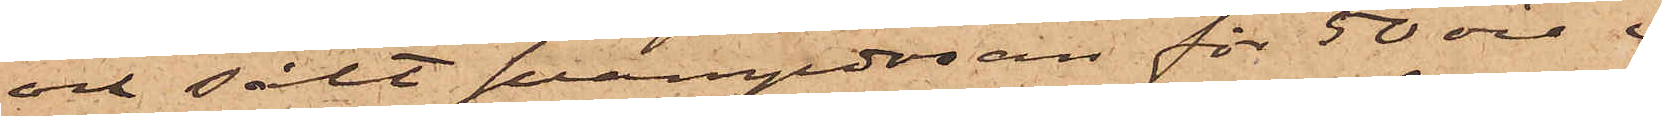och sålt svampdosan för 50 öre i
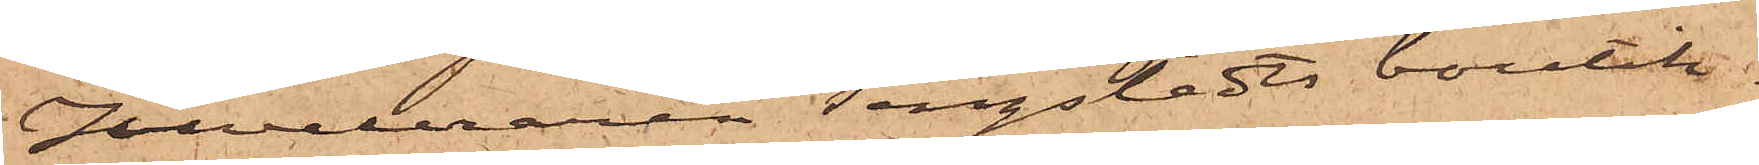Juveleraren Tengstedts boutik.
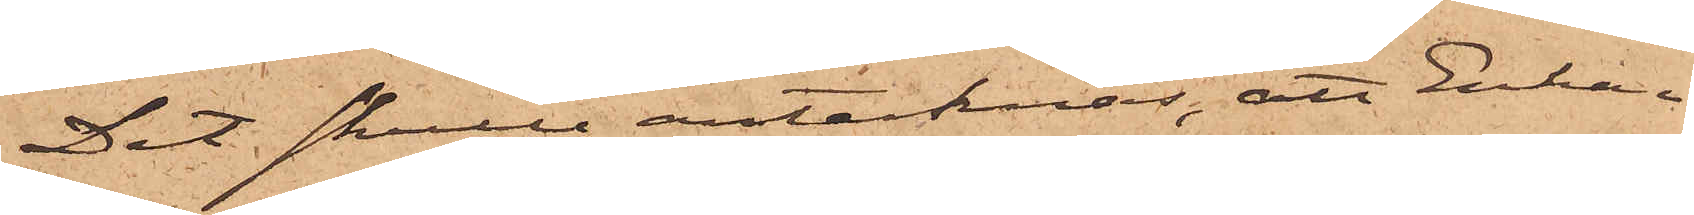Det skulle antecknas, att Enkan
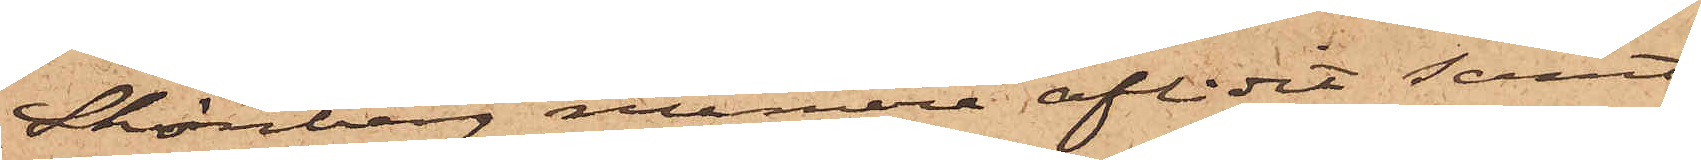Skönberg numera aflidit samt
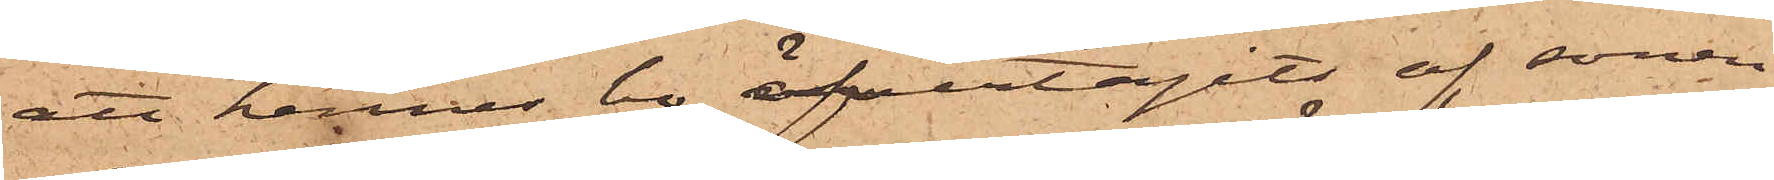att hennes bo öfvertagits af sonen
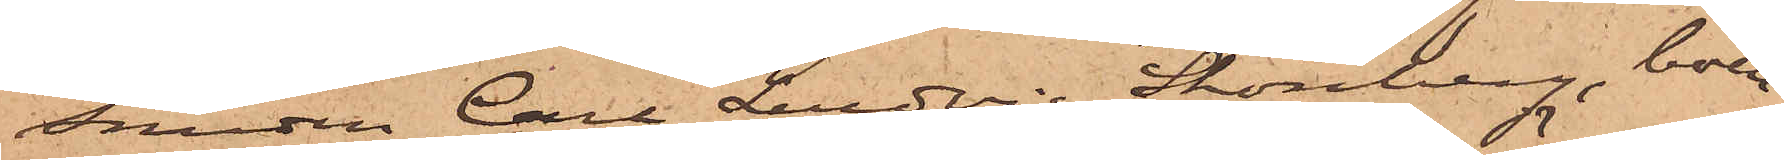Smeden Carl Ludvig Skönberg, boen¬
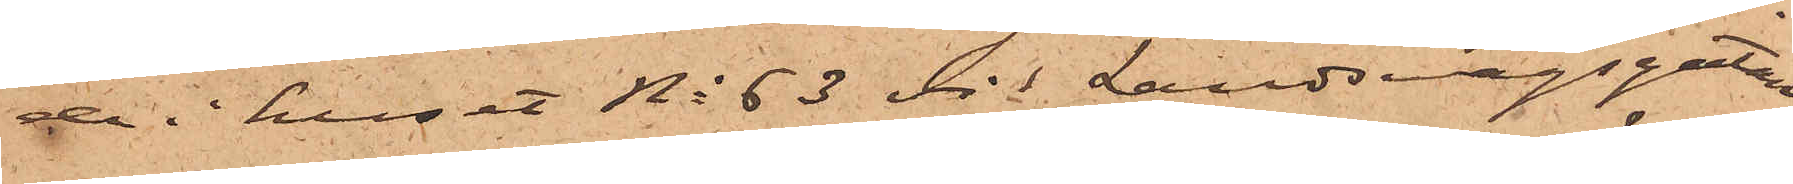de i huset No 63 vid Landsvägsgatan.
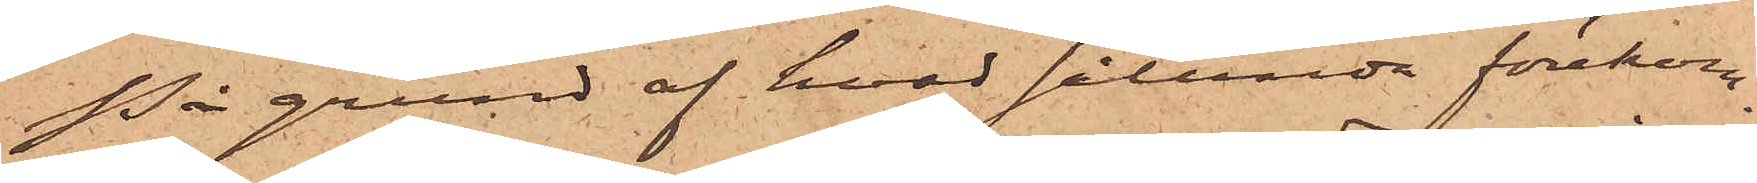På grund af hvad sålunda förekom¬
